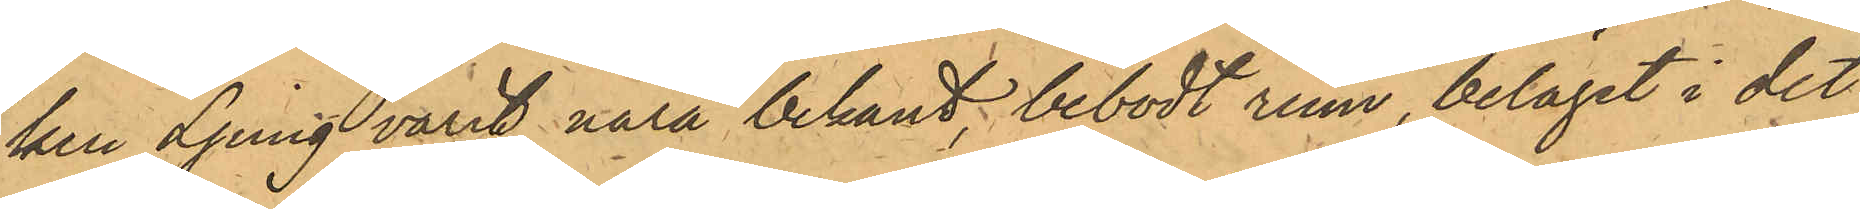ken Ljung varit nära bekant, bebodt rum, beläget i det
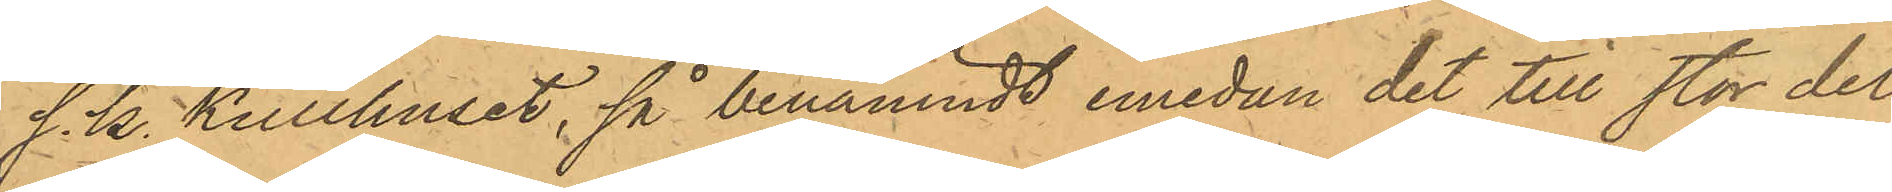s. k. Kullhuset, så benämndt emedan det till stor del
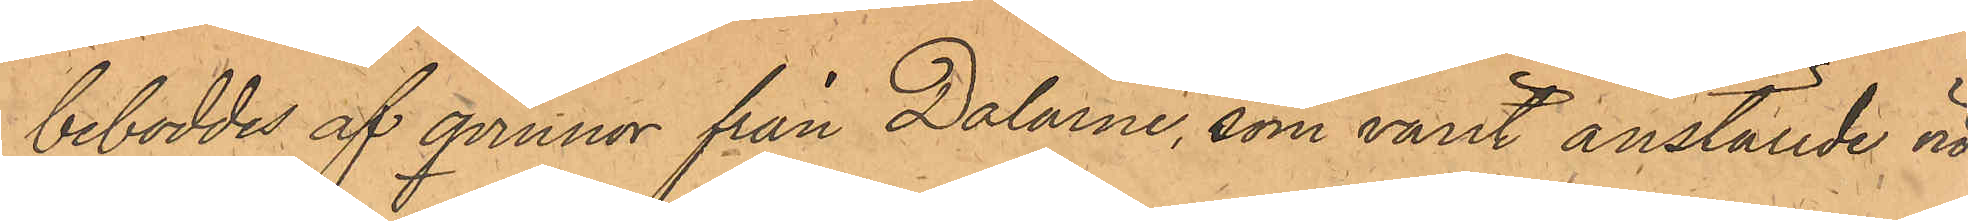beboddes af qvinnor från Dalarne, som varit anställde vid
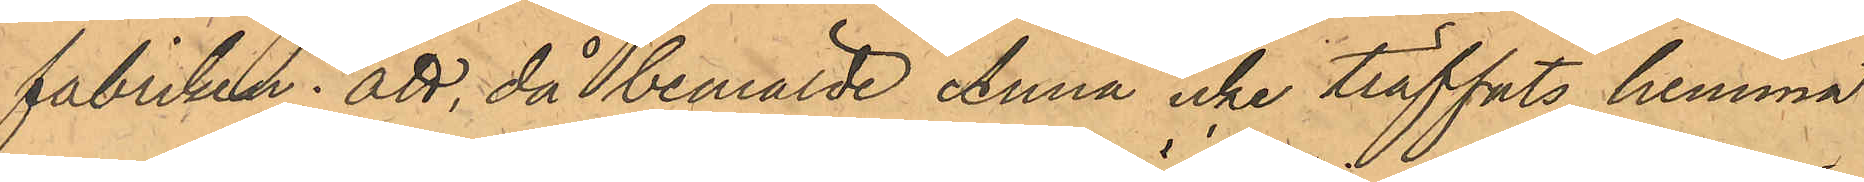fabriken; att, då bemälde Anna icke träffats hemma
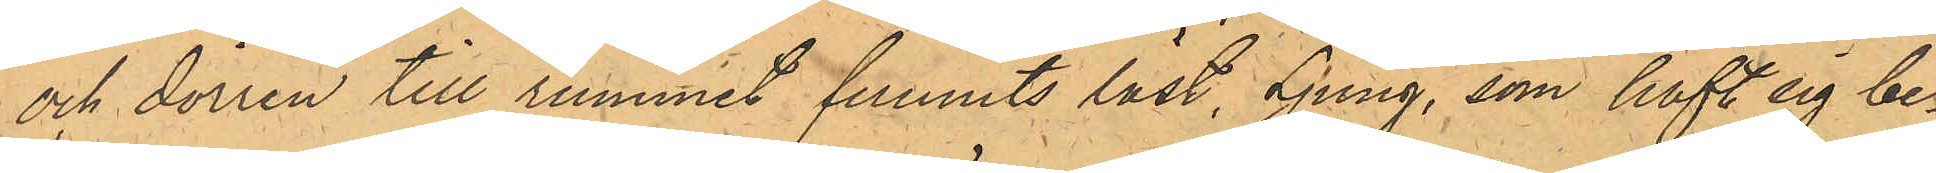och dörren till rummet funnits låst, Ljung, som haft sig be¬
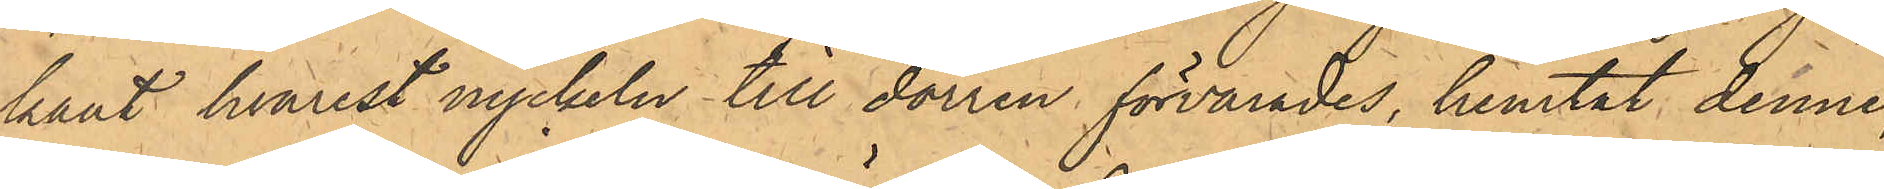kant hvarest nyckeln till dörren förvarades, hemtat denne,
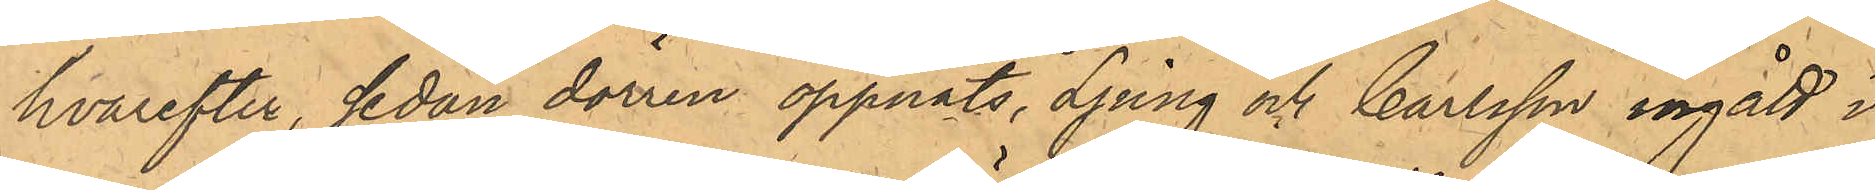hvarefter, sedan dörren öppnats, Ljung och Carlsson ingått i
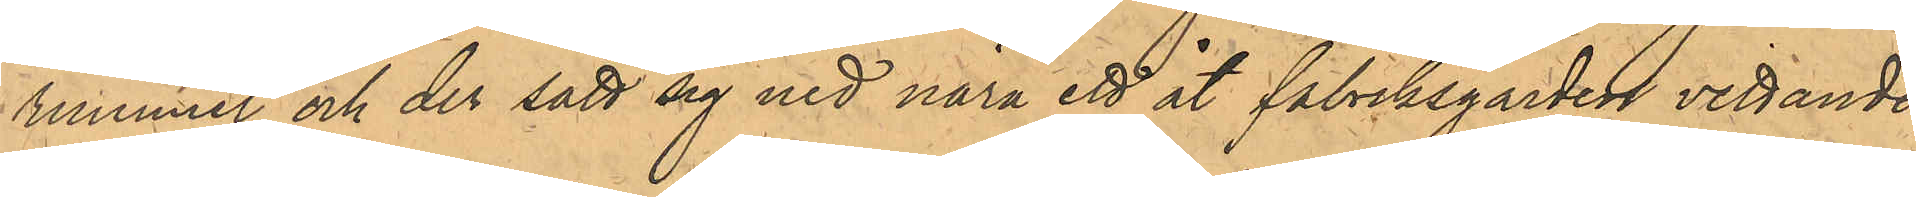rummet och der satt sig ned nära ett åt fabriksgården vettande
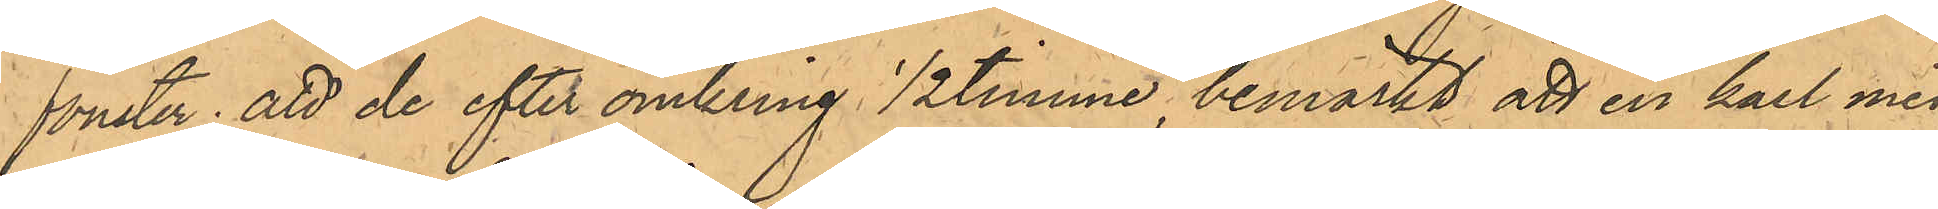fönster; att de efter omkring 1/2 timme, bemärkt att en karl med
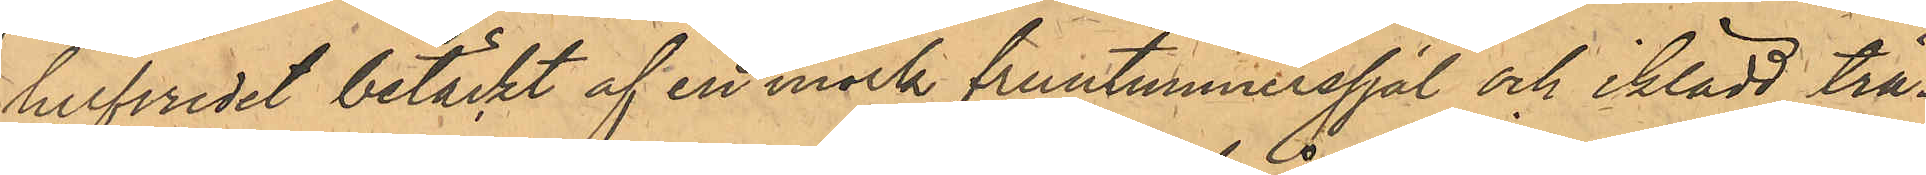hufvudet betäckt af en mörk fruntimmerssjal och iklädd trä¬
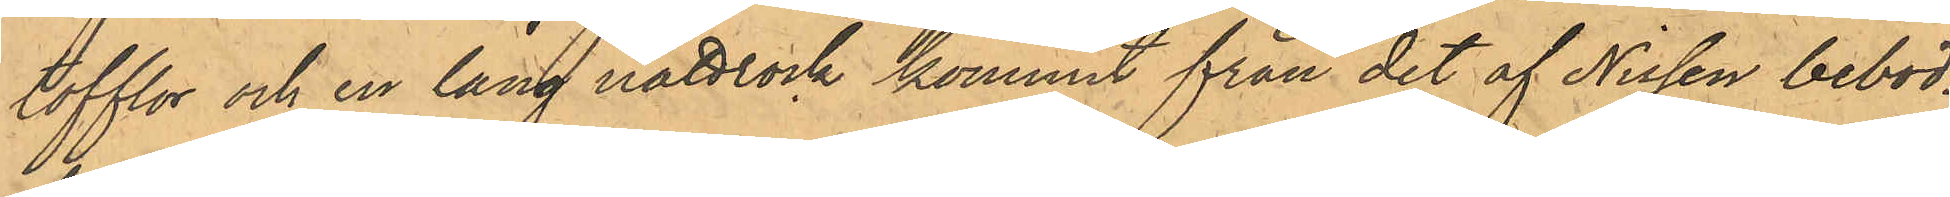tofflor och en lång nattrock kommit från det af Nissen bebod¬
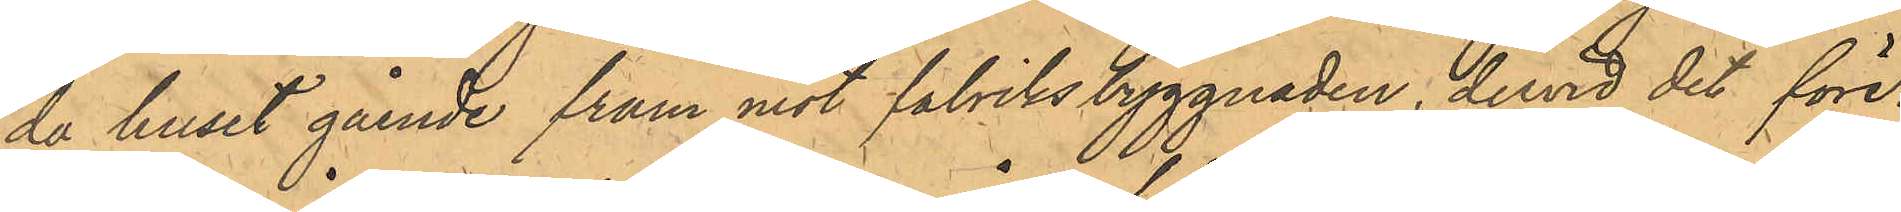de huset gående fram mot fabriksbyggnaden, dervid det före¬
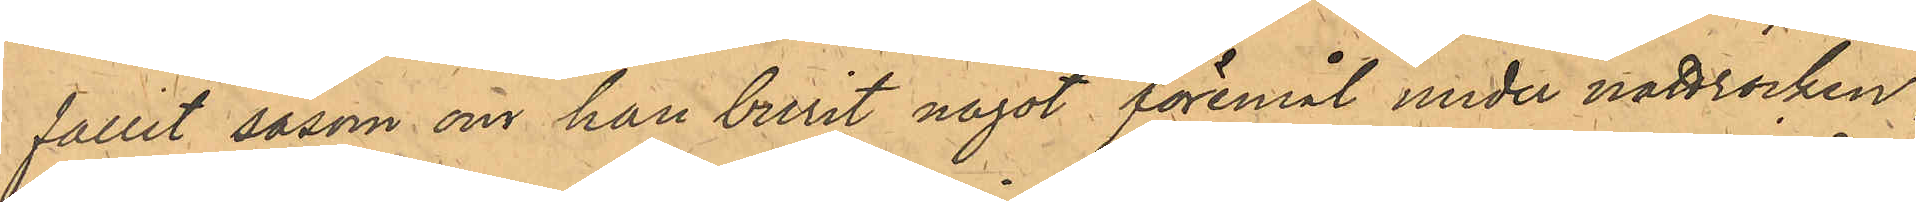fallit såsom om han burit något föremål under nattrocken;
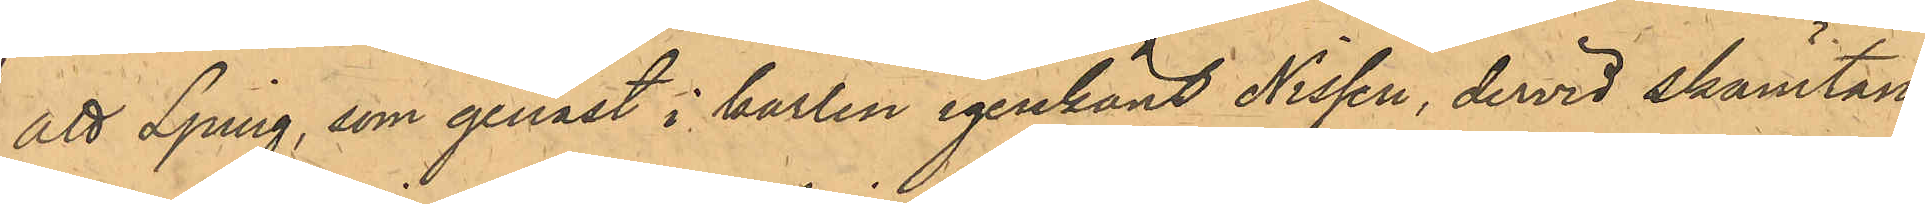att Ljung, som genast i karlen igenkänt Nissen, dervid skämtan¬
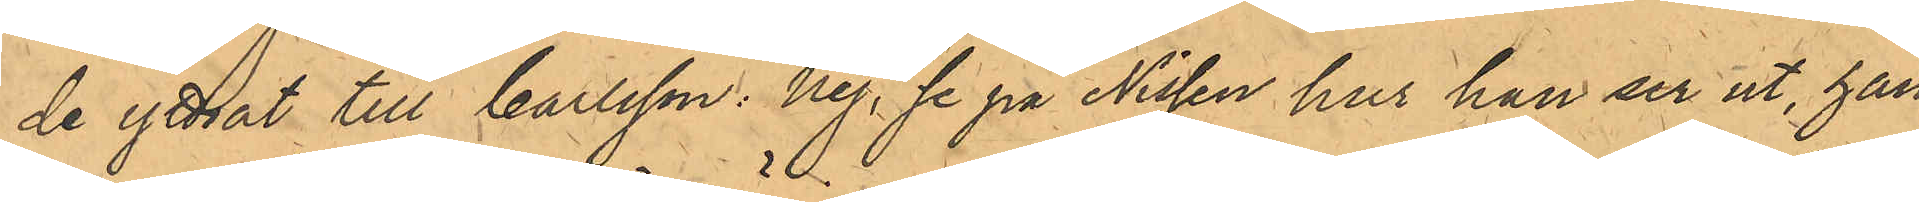de yttrat till Carlsson: nej, se på Nissen hur han ser ut, han
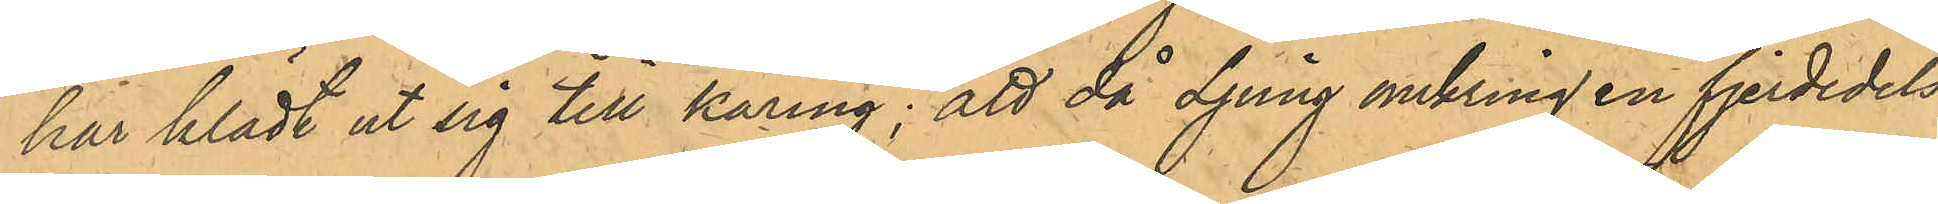har klädt ut sig till käring; att då Ljung omkring en fjerdedels
